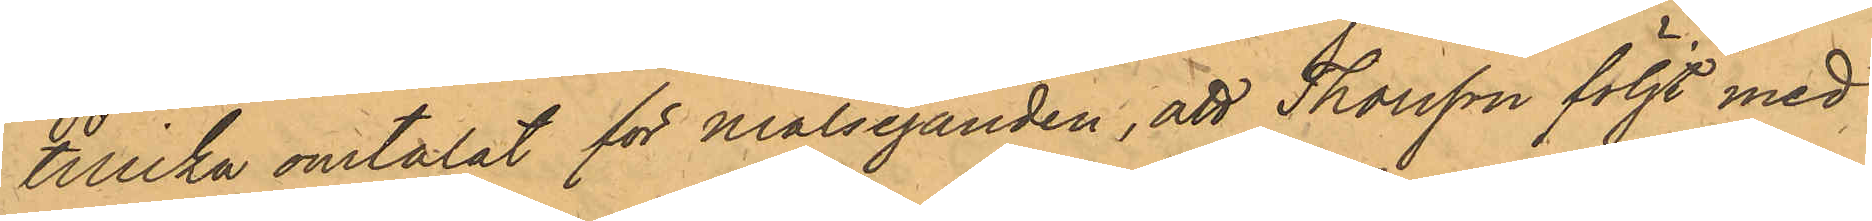tillika omtalat för målseganden, att Thorsson följt med
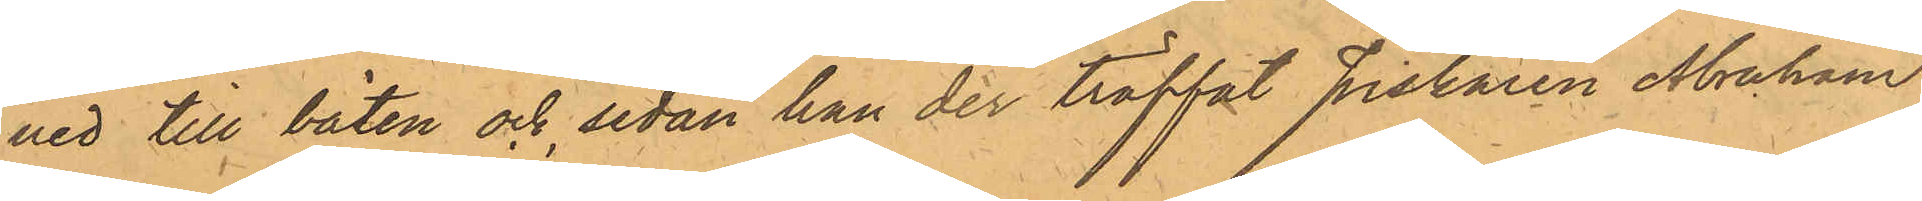ned till båten och, sedan han der träffat fiskaren Abraham
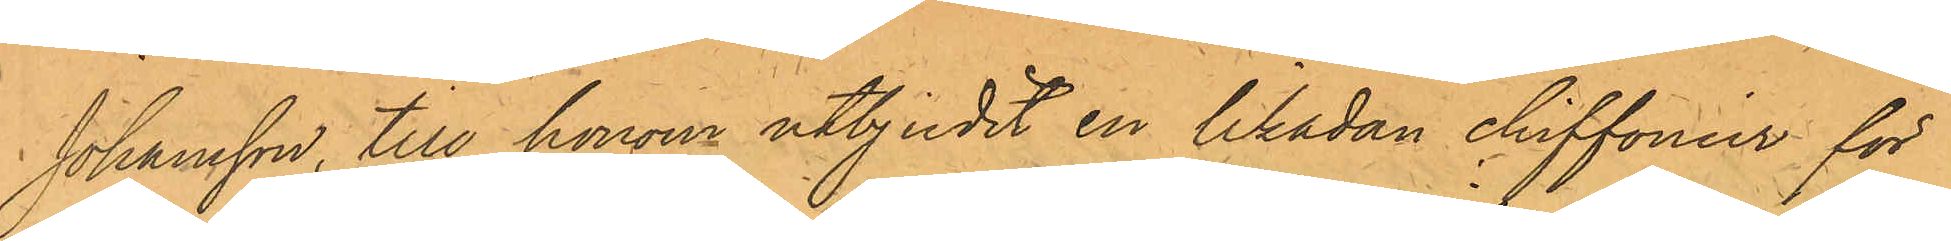Johansson, till honom utbjudit en likadan chiffonier för
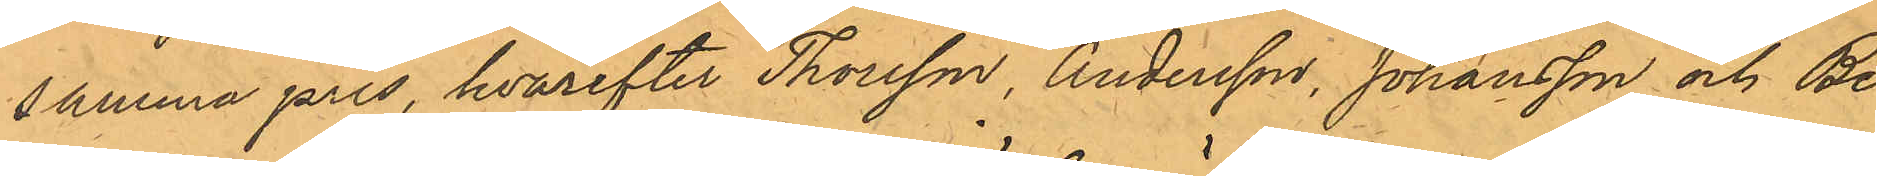samma pris, hvarefter Thorsson, Andersson, Johansson och Be¬
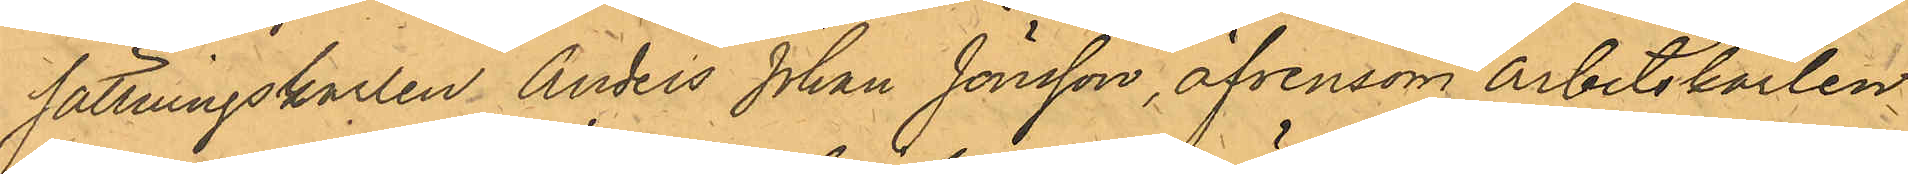sättningskarlen Anders Johan Jönsson, äfvensom Arbetskarlen
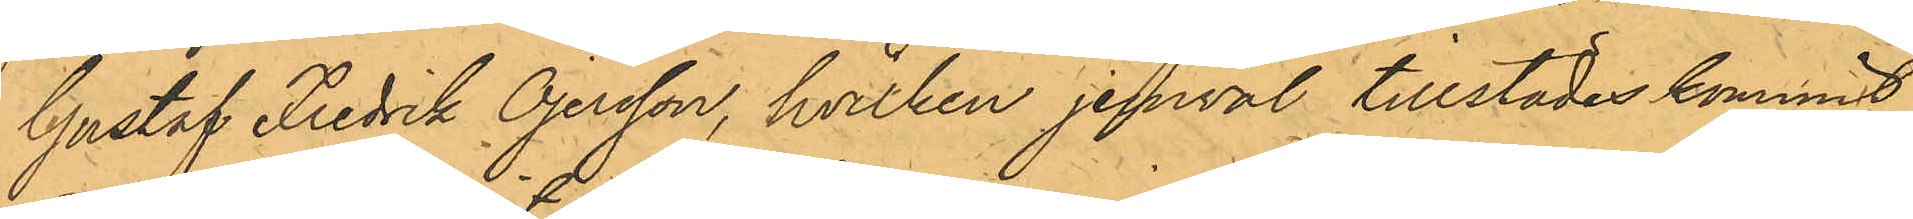Gustaf Fredrik Öjersson, hvilken jemväl tillstädes kommit,
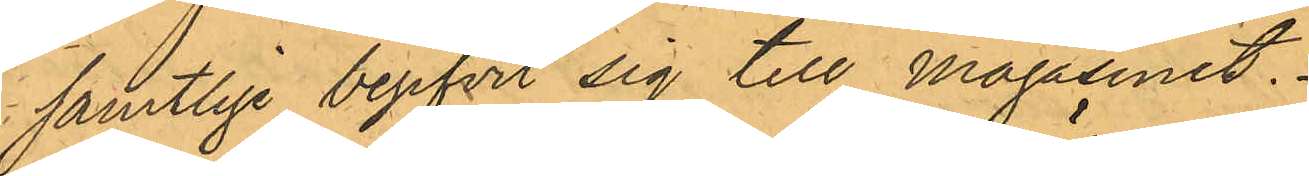samtlige begifvit sig till magasinet.
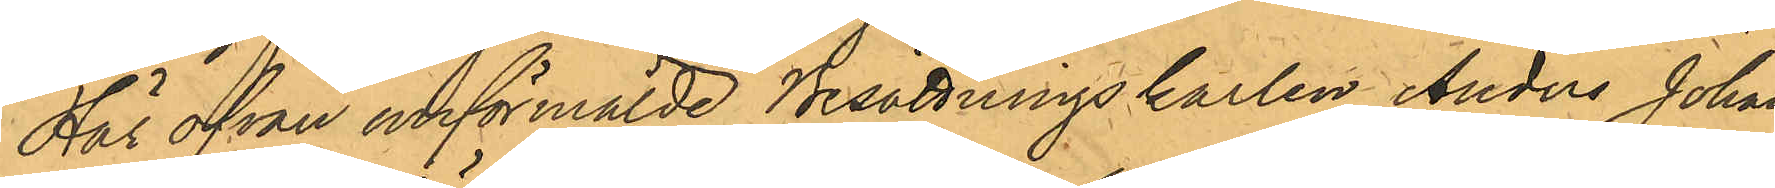Häs ofvan omförmälde Besättningskarlen Anders Johan
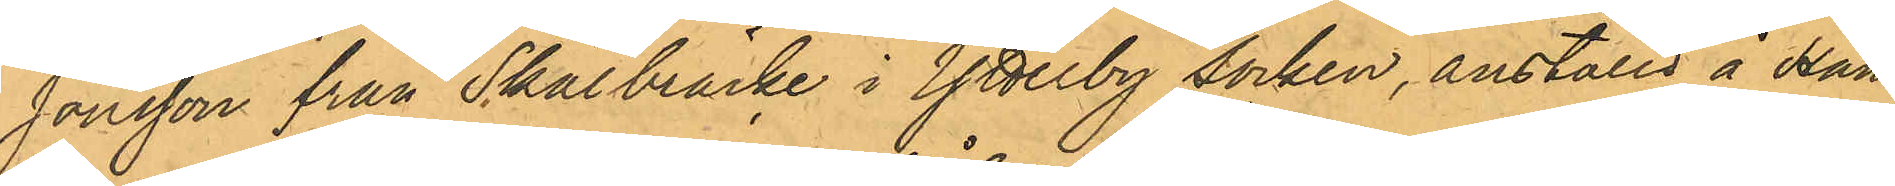Jonsson från Skälbräcke i Ytterby socken, anställd å Hand¬
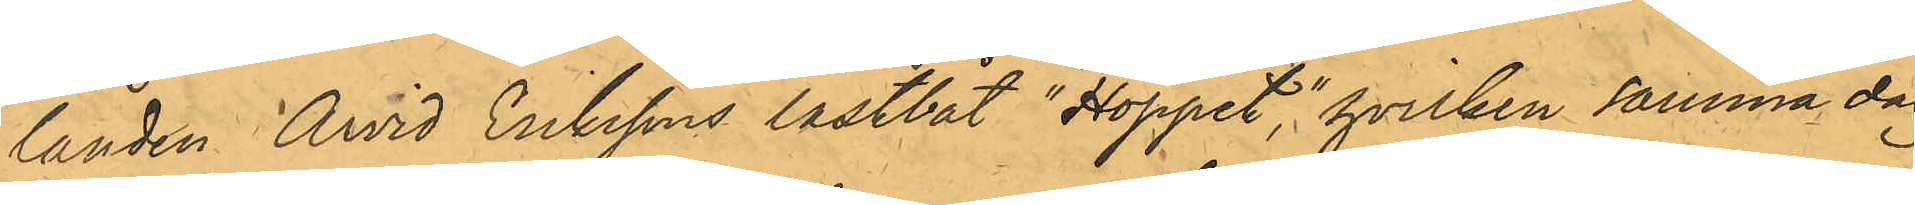landen Arvid Erikssons lastbåt "Hoppet", hvilken samma dag
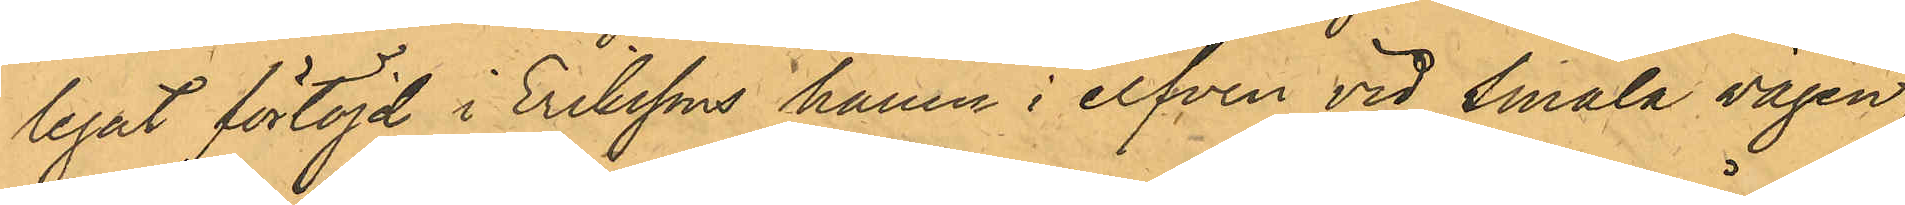legat förtöjd i Erikssons hamn i elfven vid Smala vägen,
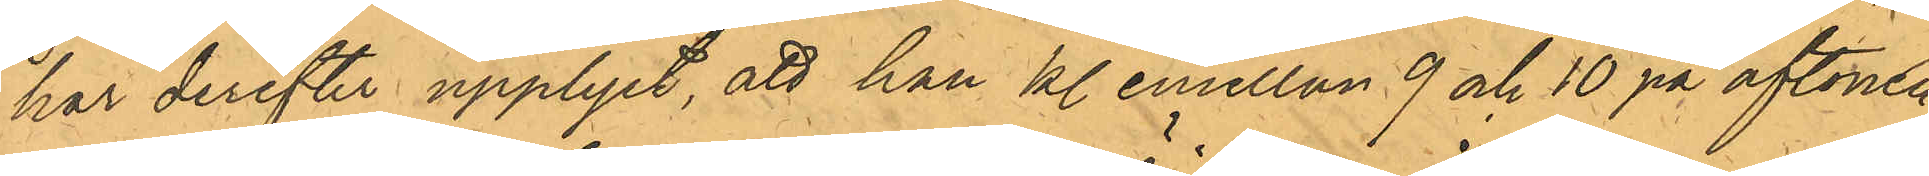har derefter upplyst, att han kl. emellan 9 och 10 på aftonen
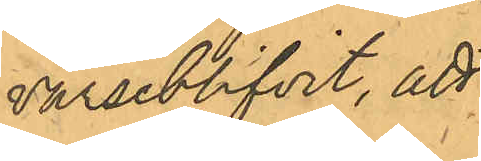varseblifvit, att
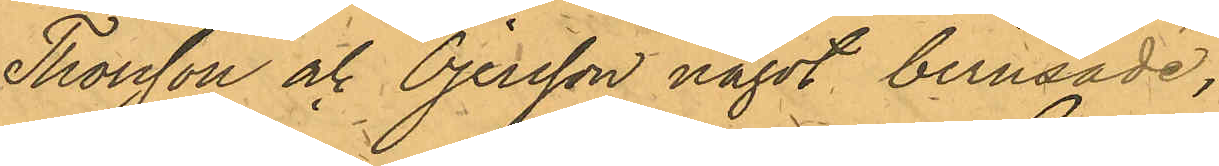Thorsson och Öjersson något berusade,
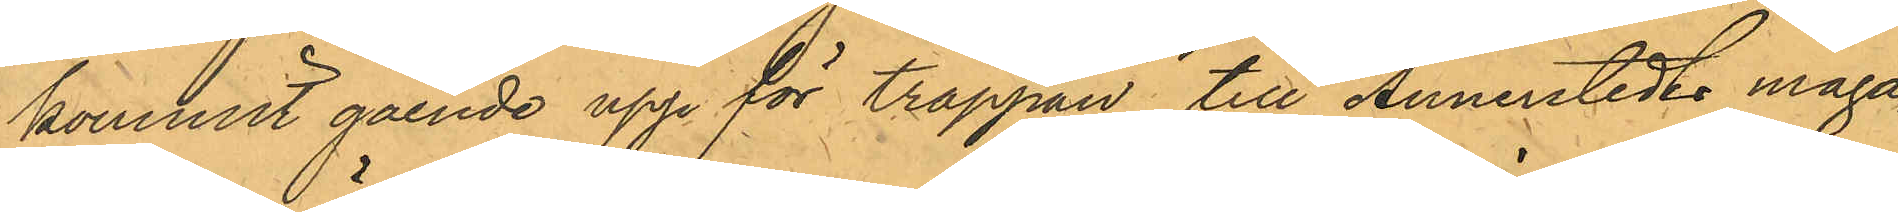kommit gående upp för trappan till Annerstedts maga¬
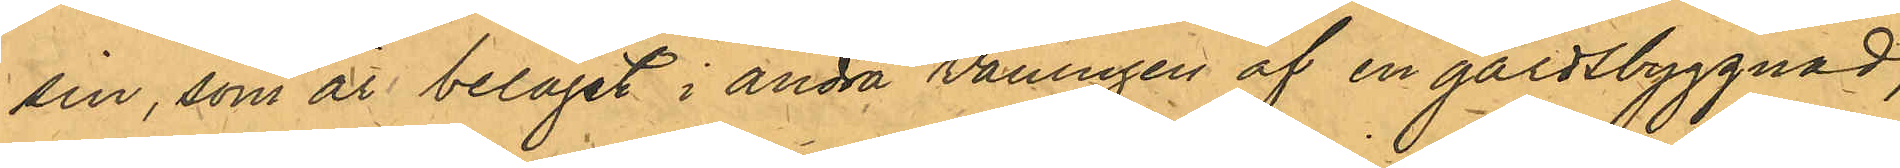sin, som är beläget i andra våningen af en gårdsbyggnad,
